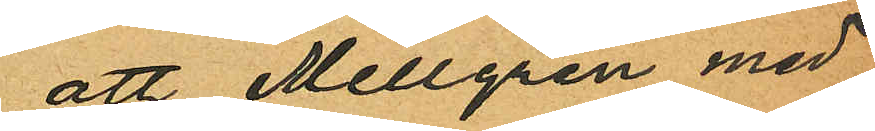att Mellgren med
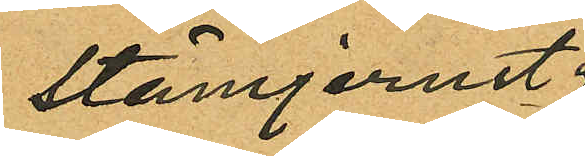stämjernet.
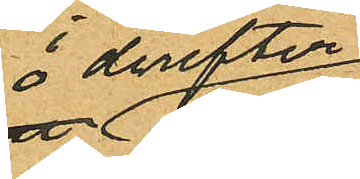 derefter
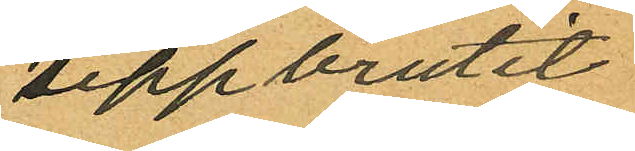uppbrutit
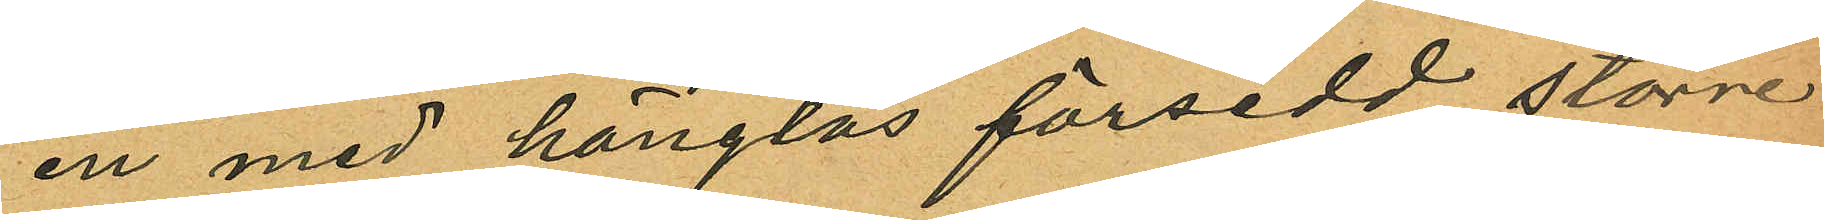en med hänglås försedd större
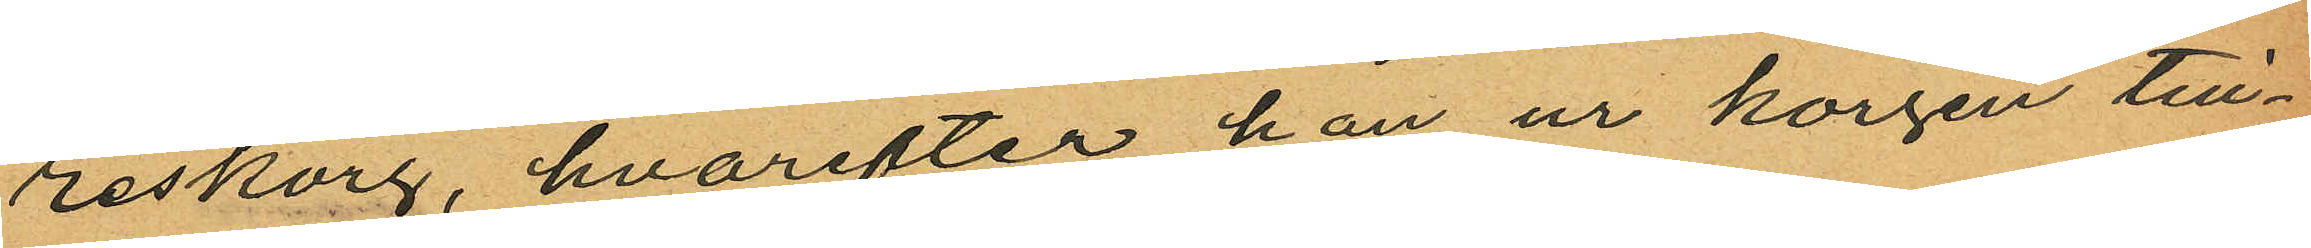reskorg, hvarefter han ur korgen till¬
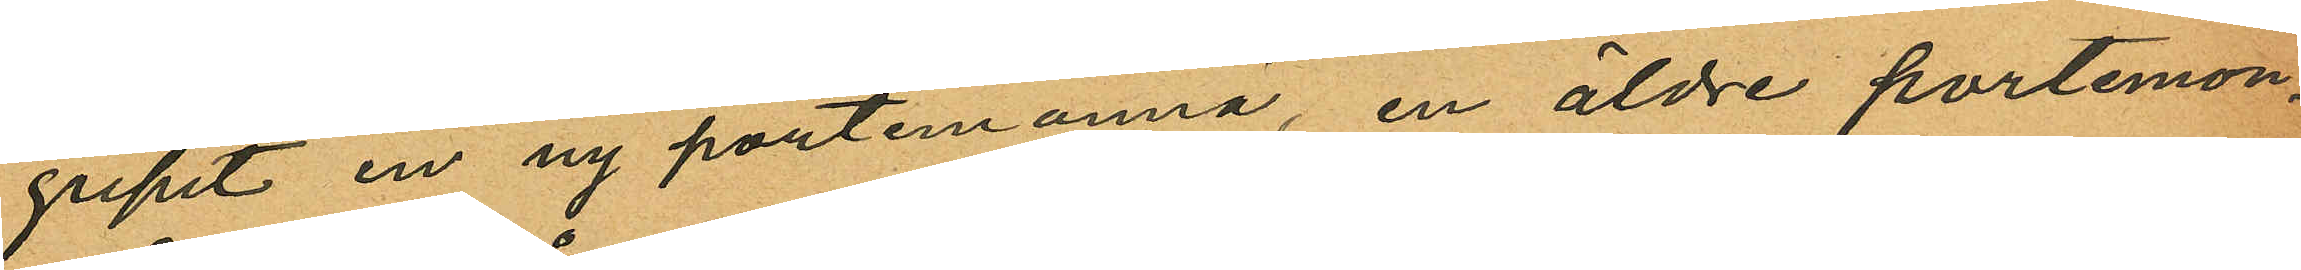gripit en ny portemonnä, en äldre portemon¬
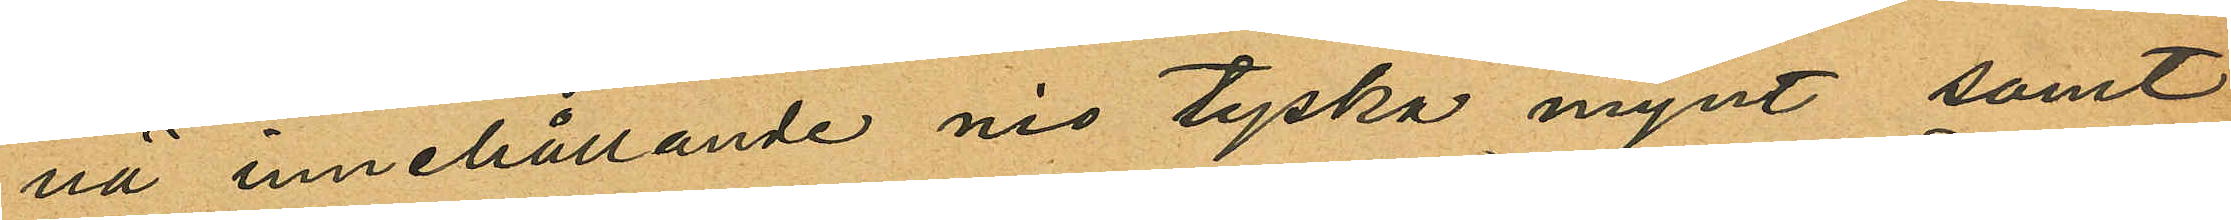nä innehållande nio tyska mynt samt
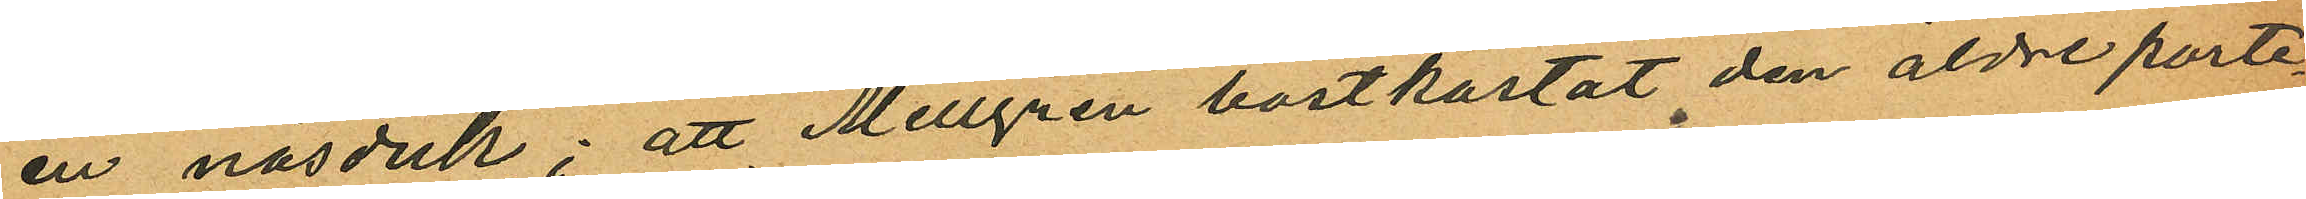en näsduk; att Mellgren bortkastat den äldre porte¬
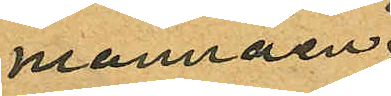mannäen
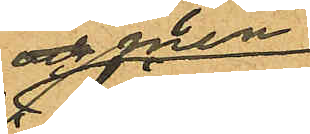men
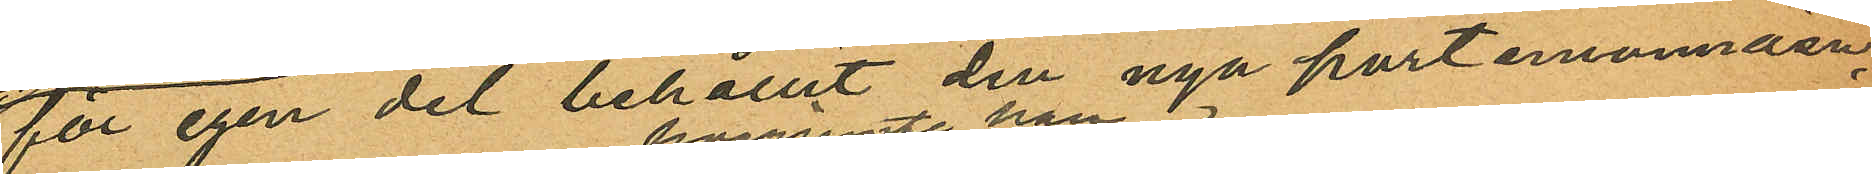för egen del behållit den nya portmonnäen,
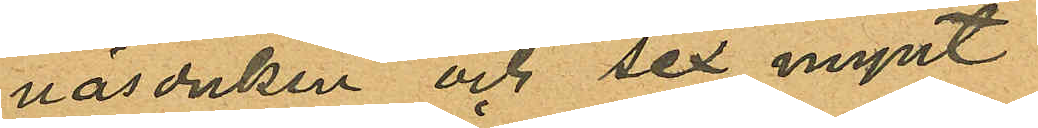näsduken och sex mynt
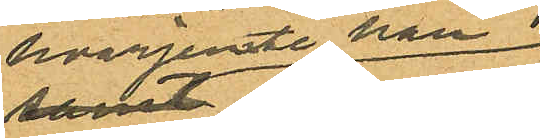hvarjemte han
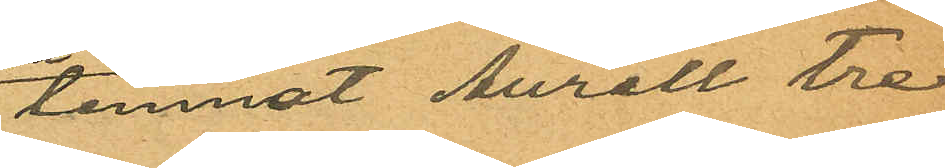lemnat Aurell tre
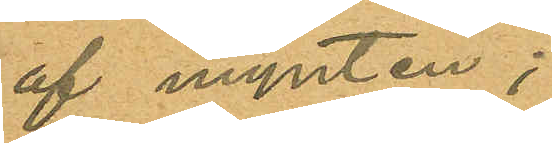af mynten;
